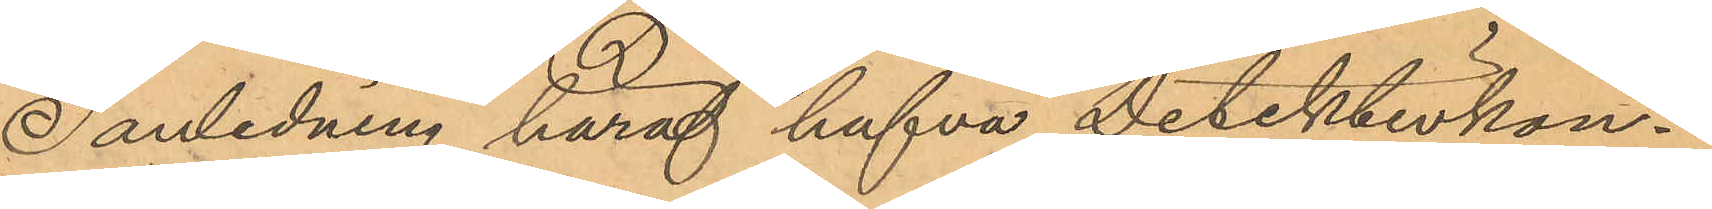I anledning häraf hafva Detektivkon¬
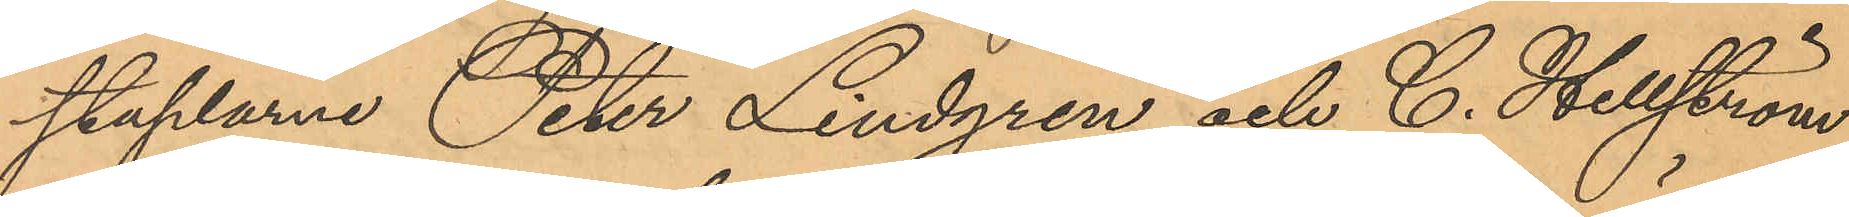staplarne Peter Lindgren och C. Hellström
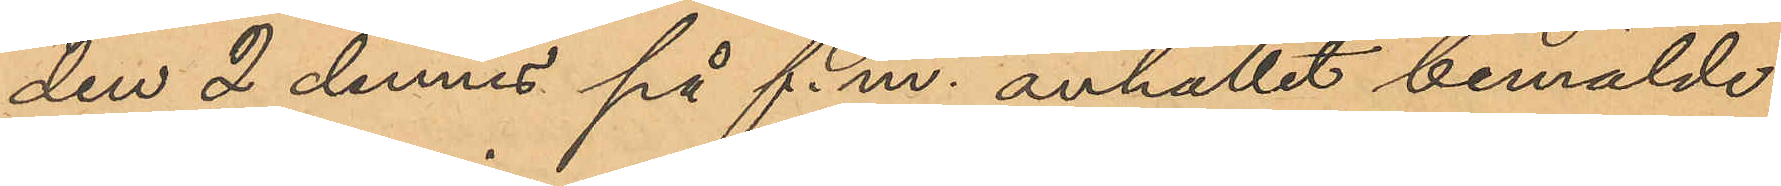den 2 dennes på f.m. anhållit bemälde
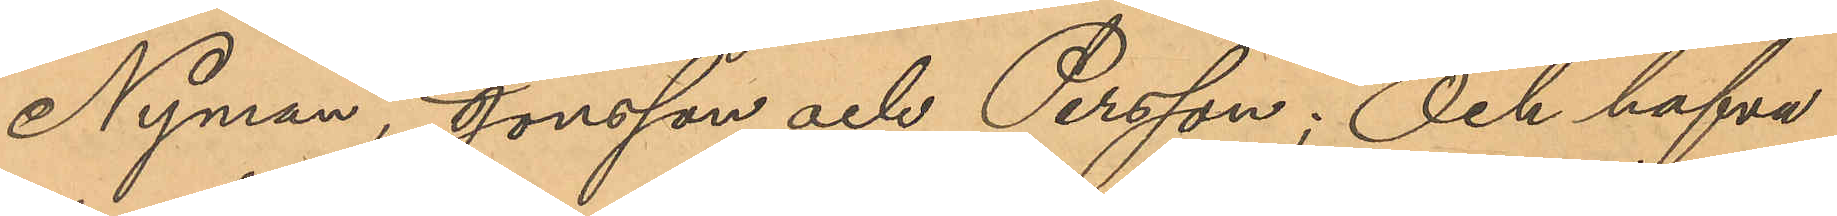Nyman, Jonsson och Persson; Och hafva
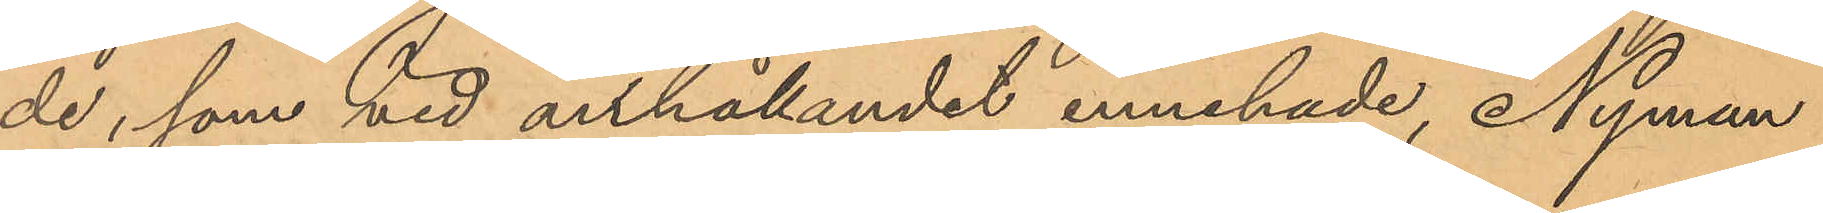de, som vid anhållandet innehade, Nyman
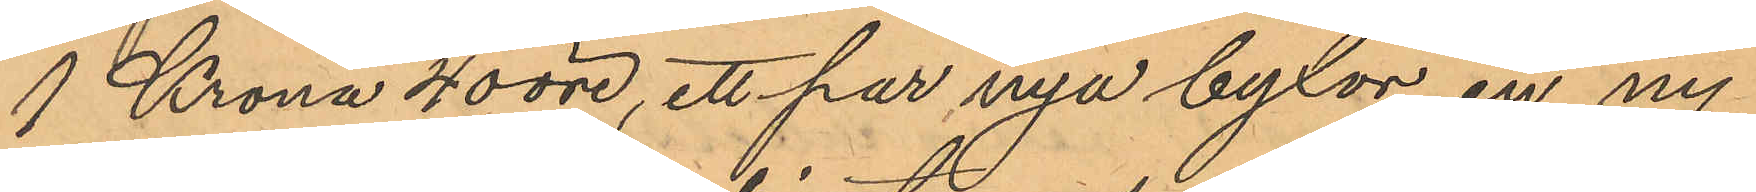1 Krona 40 öre, ett par nya byxor, en ny
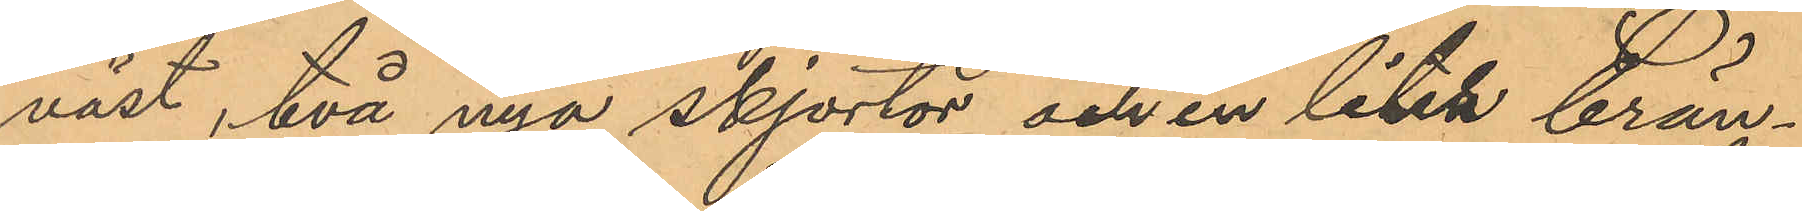väst, två nya skjortor och en liter brän¬
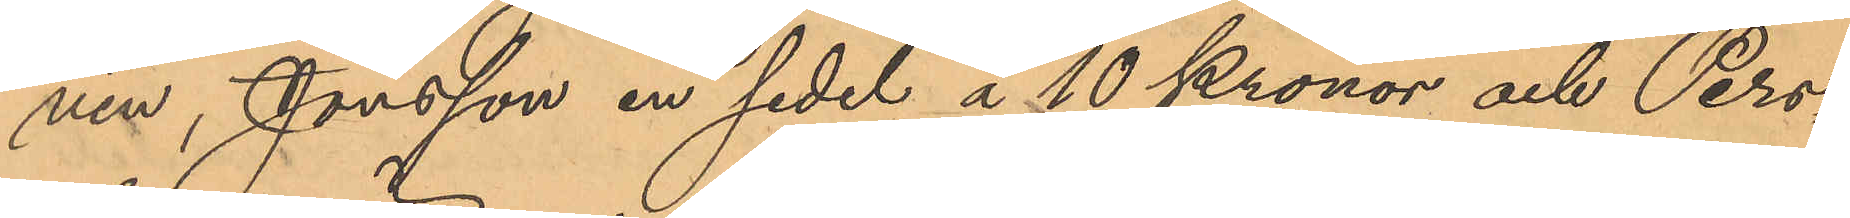vin, Jonsson en sedel å 10 Kronor och Pers¬
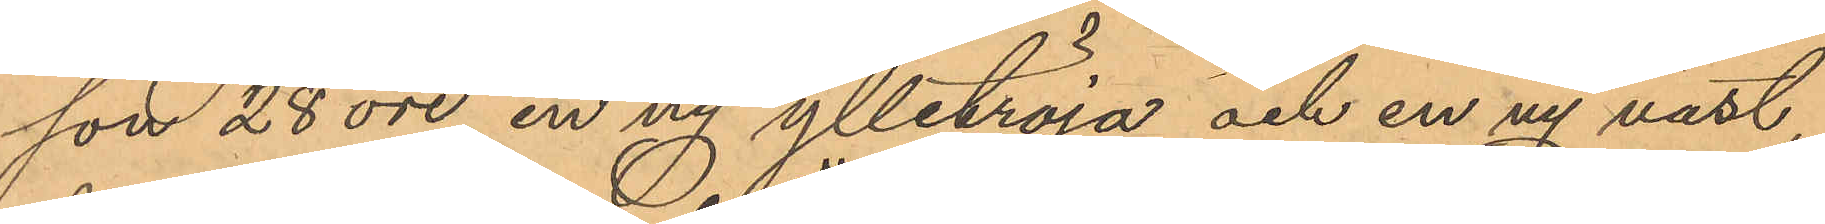son 28 öre, en ny ylletröja och en ny väst,
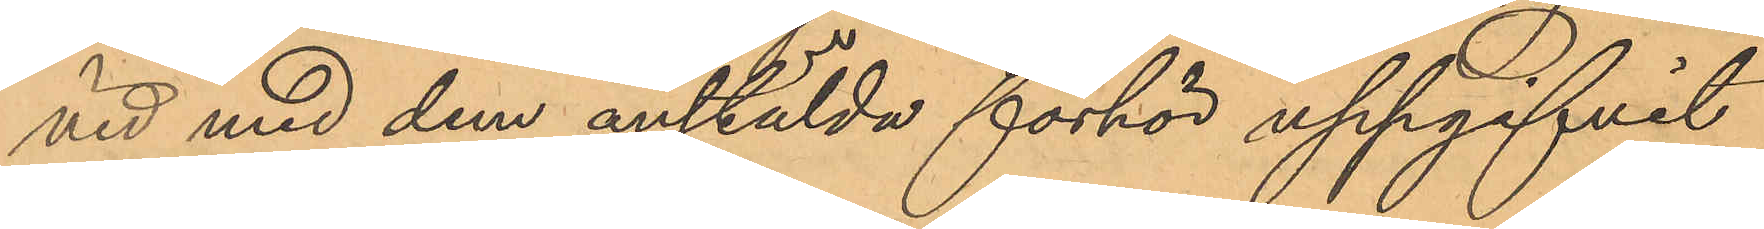vid med dem anstälda förhör uppgifvit
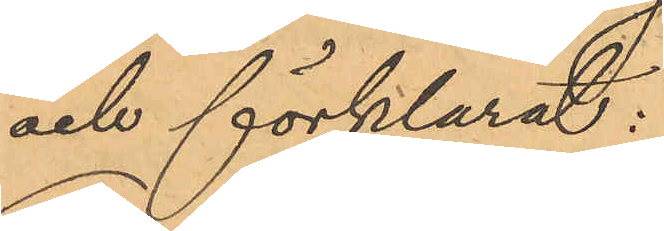och förklarat:
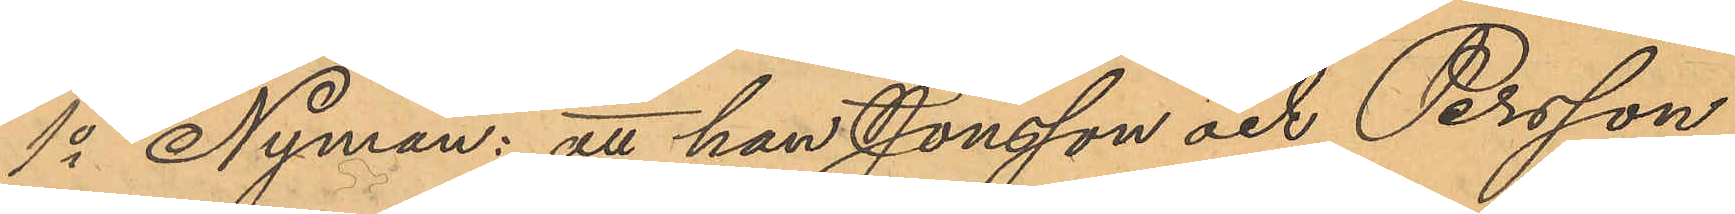1o Nyman: att han Jonsson och Persson
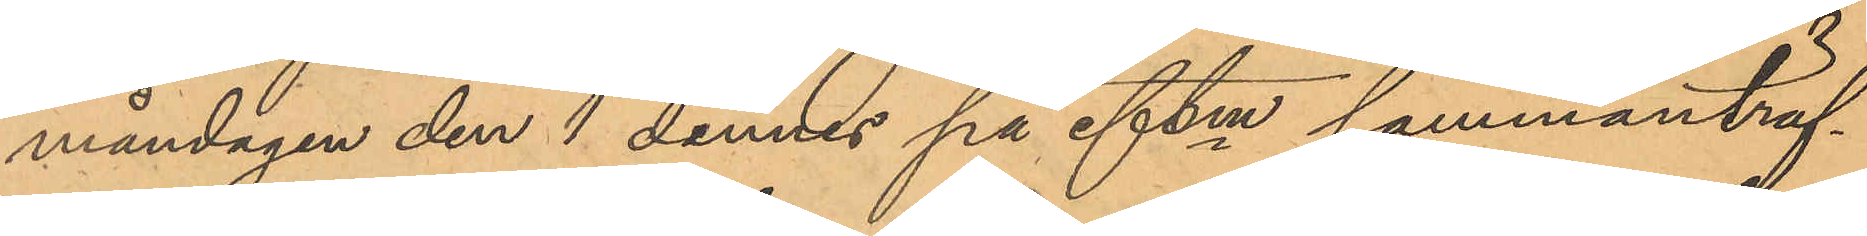måndagen den 1 dennes på eftm sammanträf¬
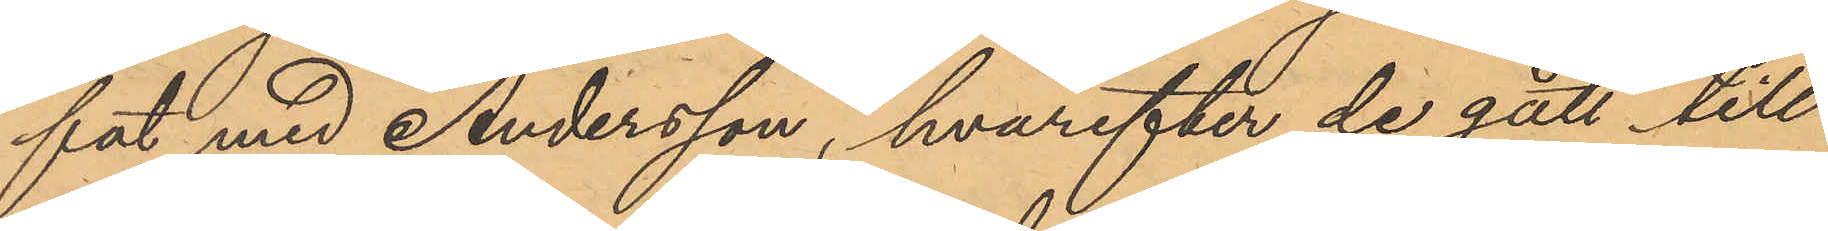fat med Andersson, hvarefter de gått till
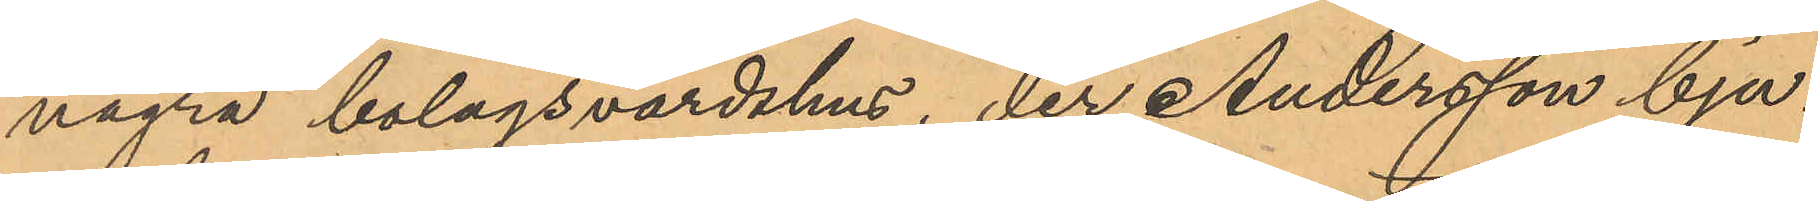några bolagsvärdshus, der Andersson bju¬
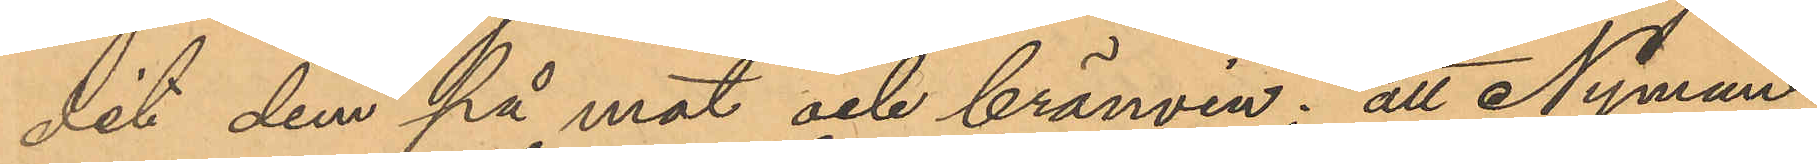dit dem på mat och brännvin; att Nyman,
